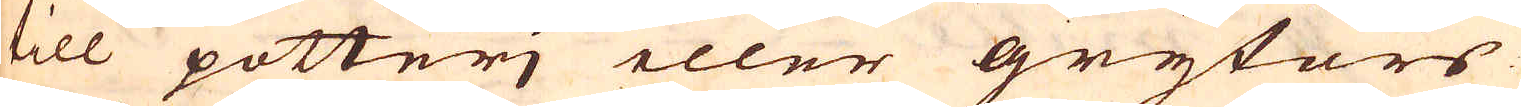till potterj eller grytors
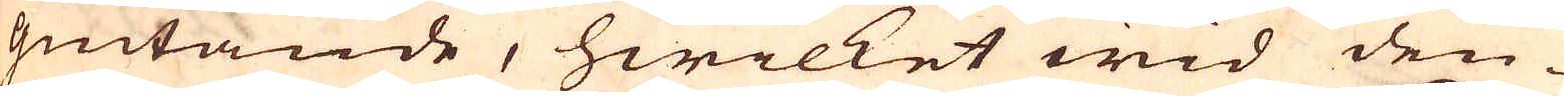giutande, hwilket wid den-
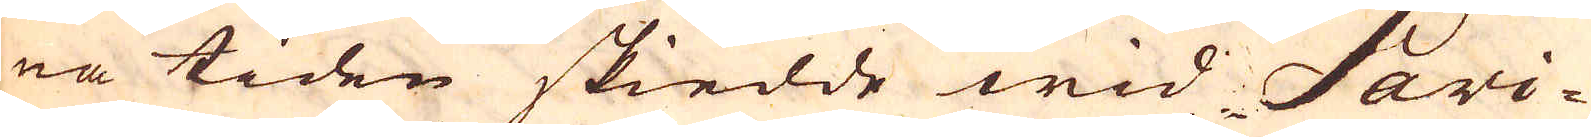na tiden skiedde wid Sari-
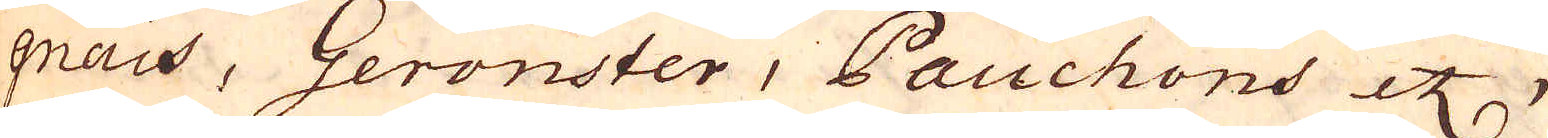qnais, Geronster, Pauchons etc,
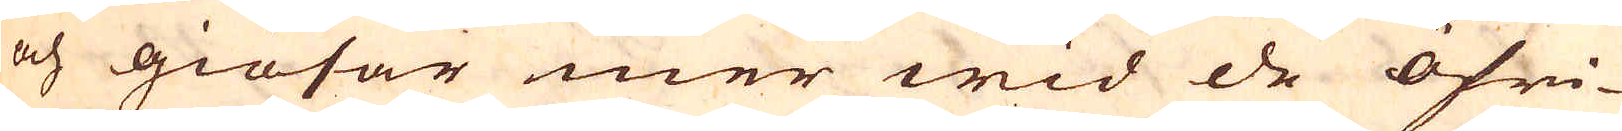och giösar mer wid de öfri-
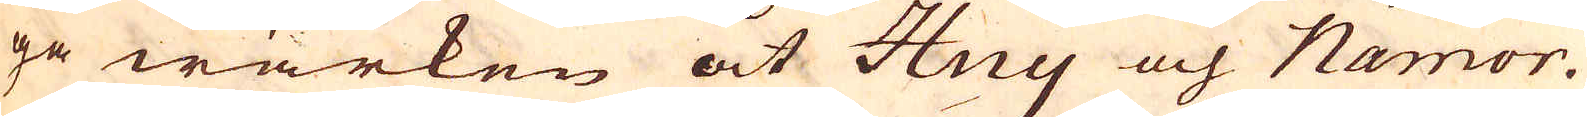ge wärken åt Huy och Namor.
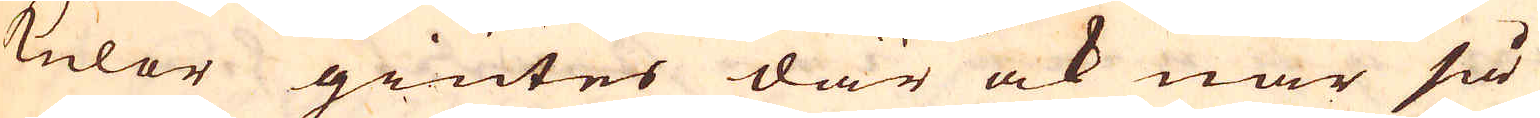Kulor giutes där ock när så
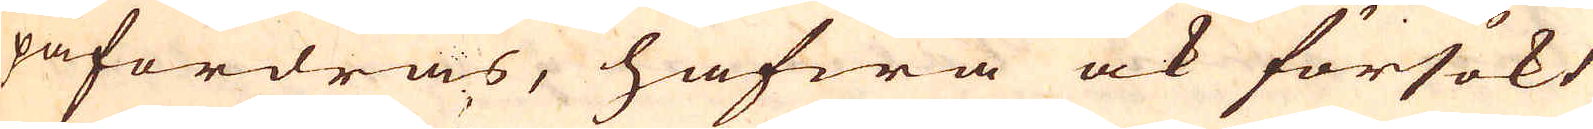påfordras, hafwa ock försökt
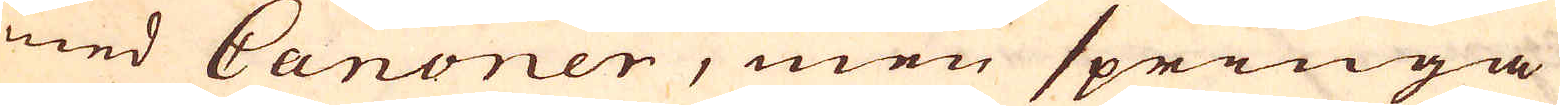med Canoner, men springa
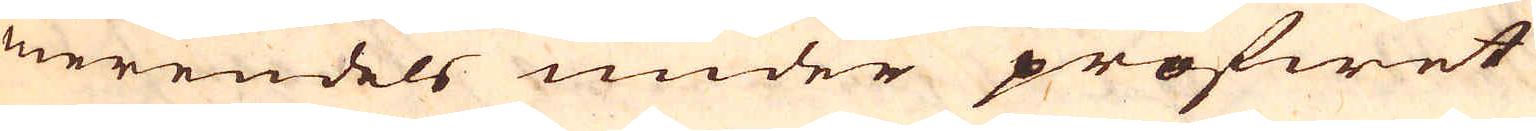merendels under profwet
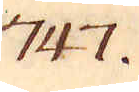747.
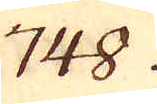748.
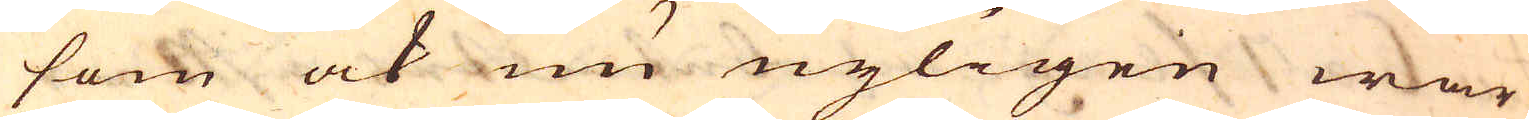som ock nu nyligen war
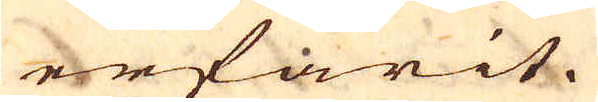erfarit.
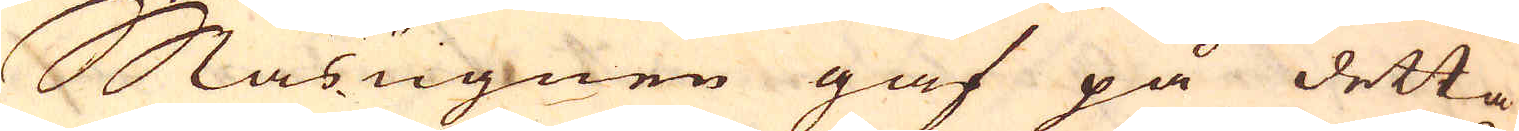Masugnen gaf på detta
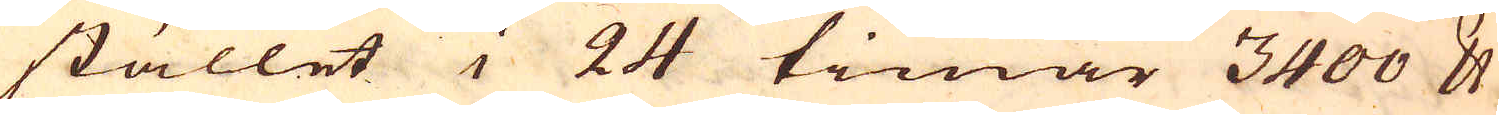stället i 24 timar 3400 skålpund
